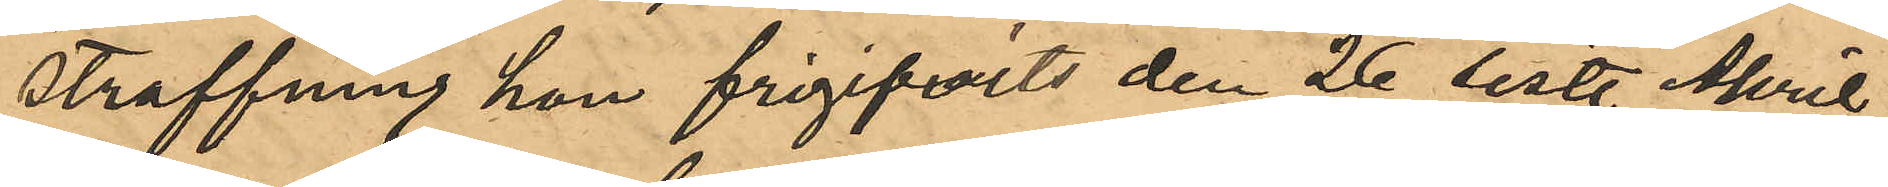straffning hon frigifvits den 26 sist. April,
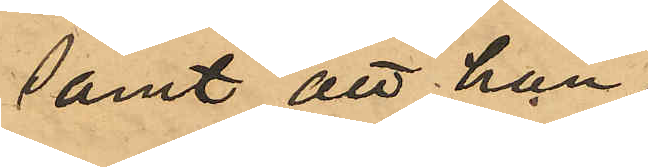samt att hon
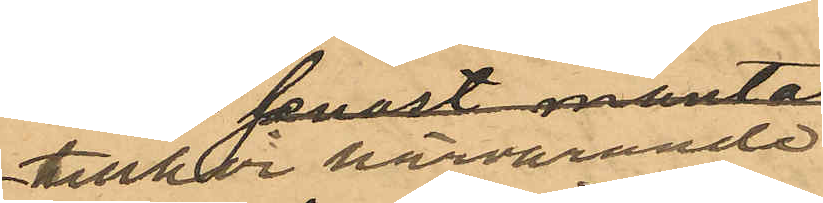tillhör härvarande
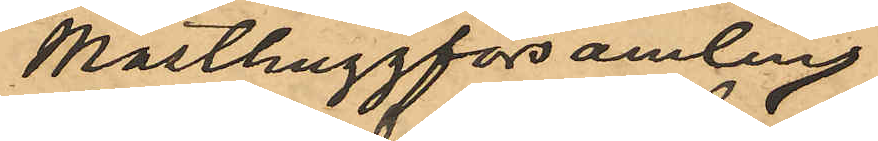Masthuggförsamling.
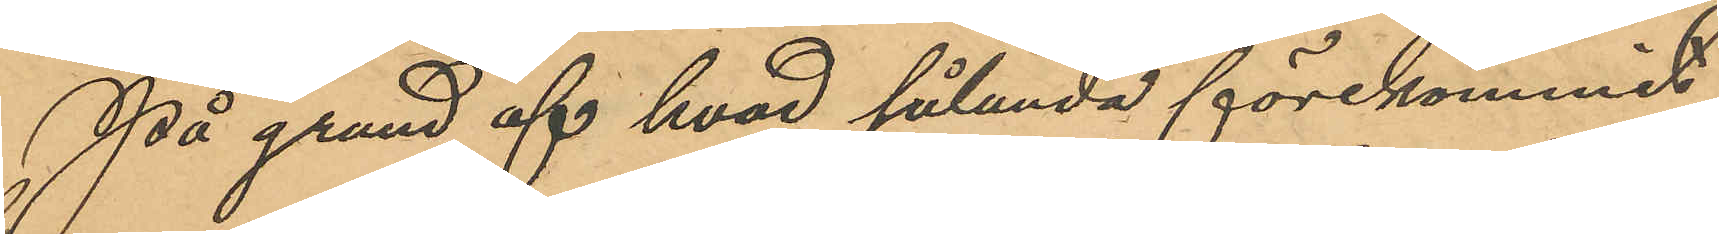På grund af hvad sålunda förekommit
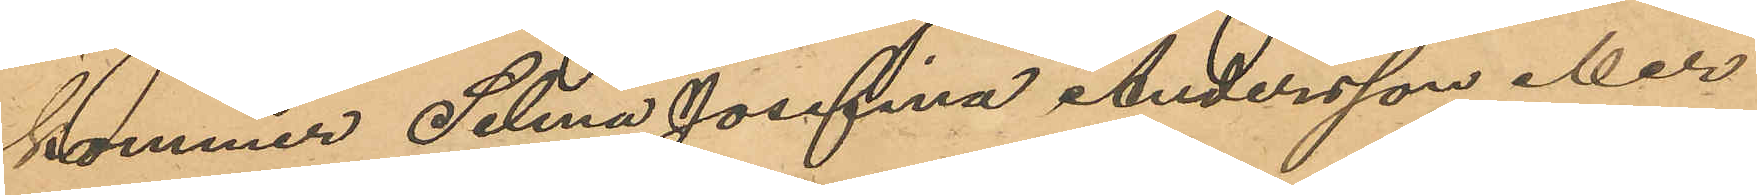kommer Selma Josefina Andersson eller
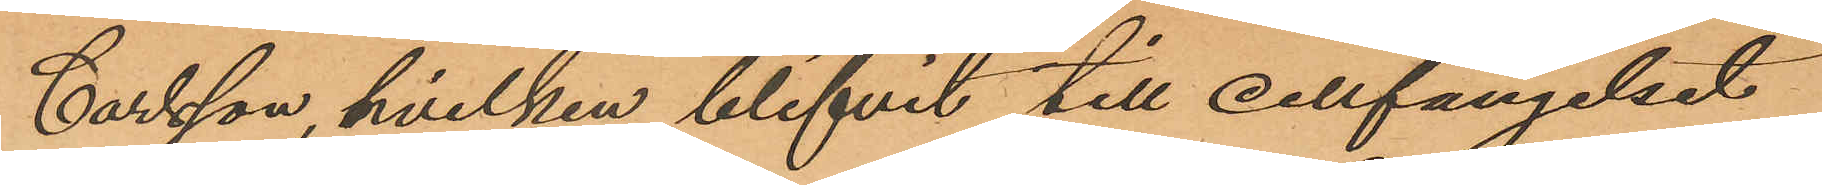Carlsson, hvilken blifvit till cellfängelset
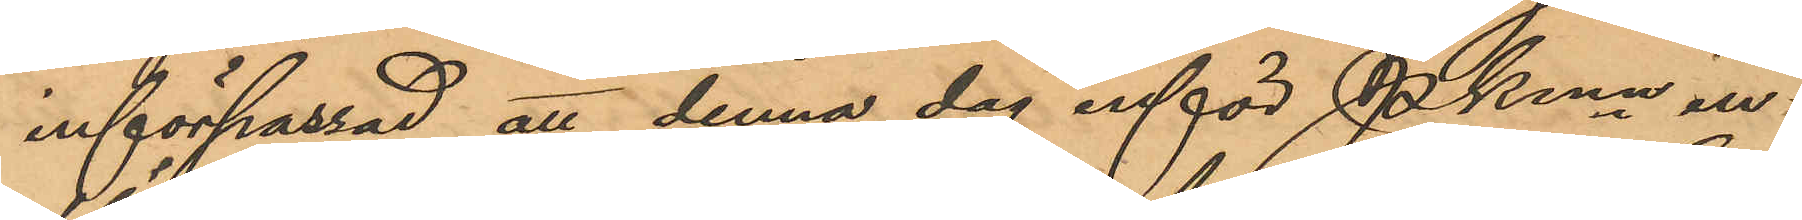införpassad, att denna dag inför Pkmn in¬
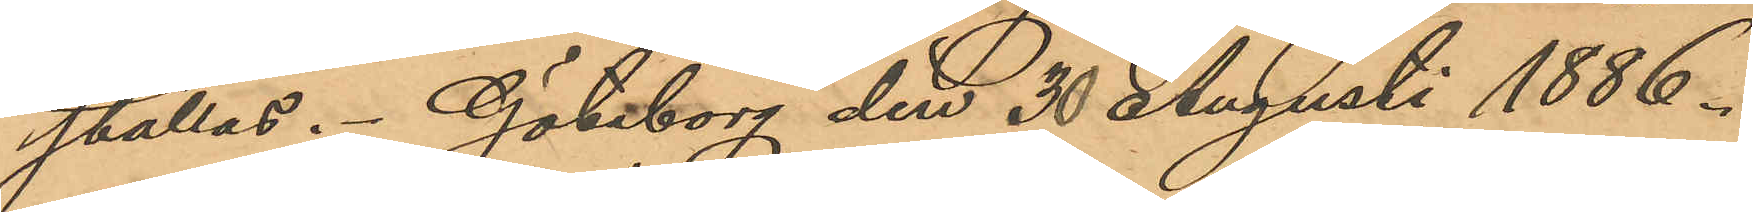ställas. Göteborg den 30 Augusti 1886.
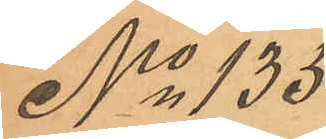No 135
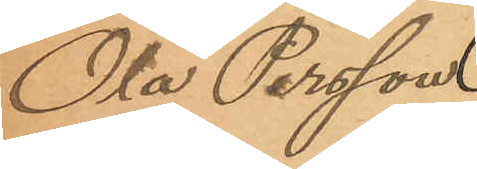Ola Persson
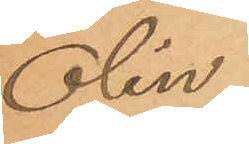Olin.
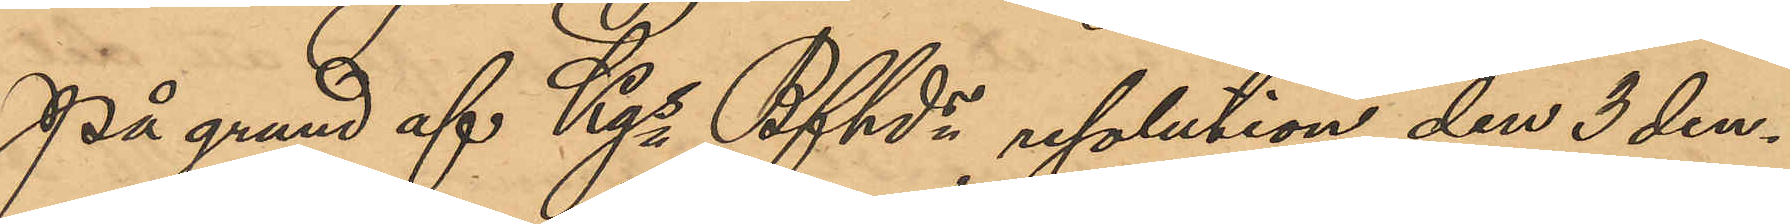På grund af Kgs Bfhds resolution den 3 den¬
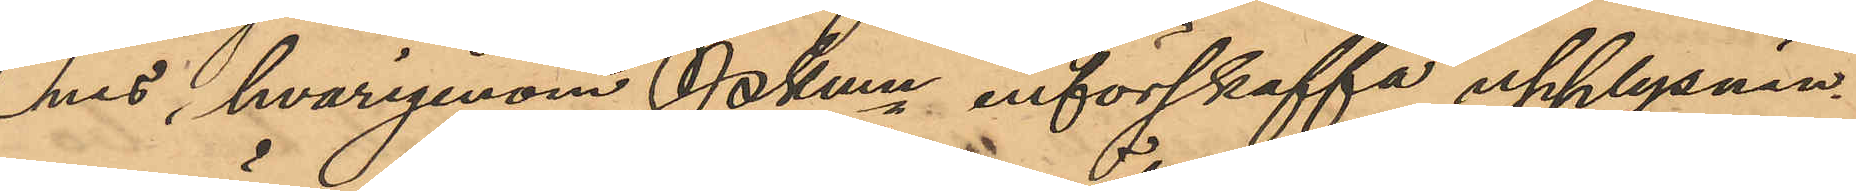nes, hvarigenom Pkmn införskaffa upplysnin¬
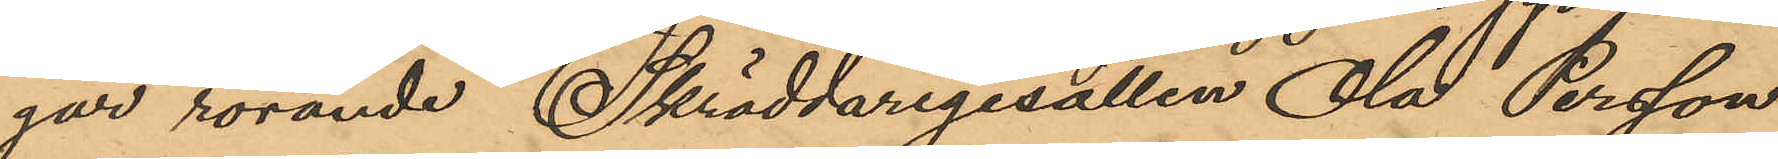gar rörande Skräddaregesällen Ola Persson
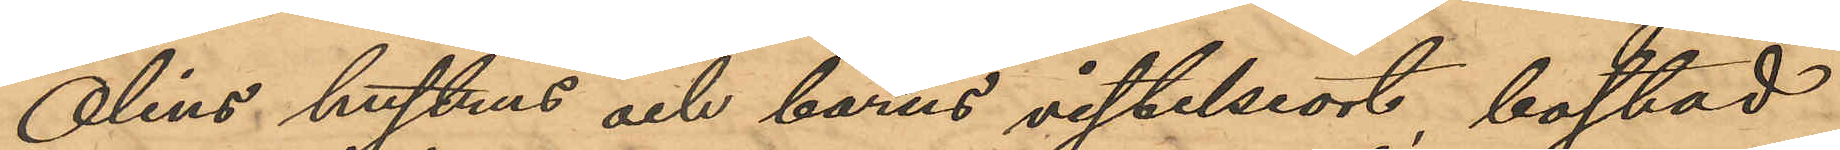Olins hustrus och barns vistelseort, bostad
